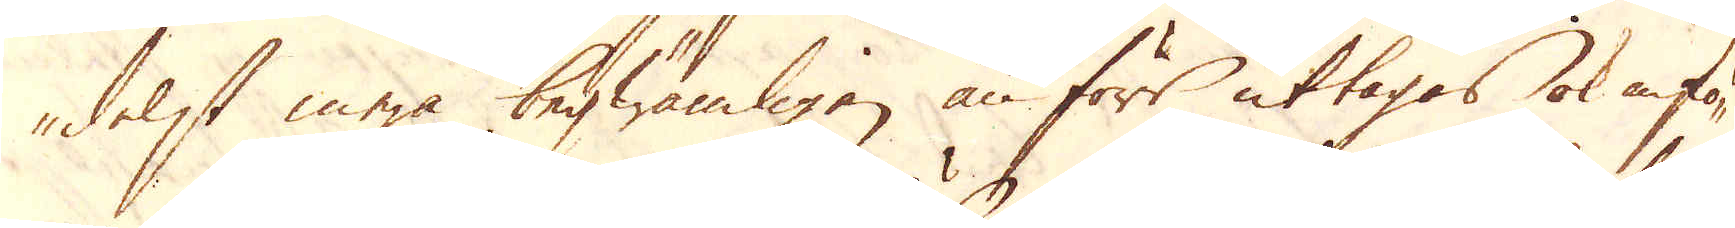delst mera beqwämligen än förr uttagas ok infö-
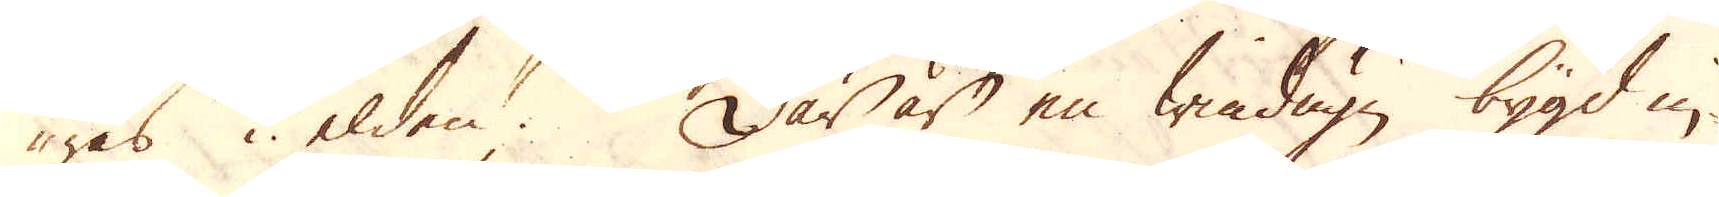ras i elden. Där är en windugn bygd in-
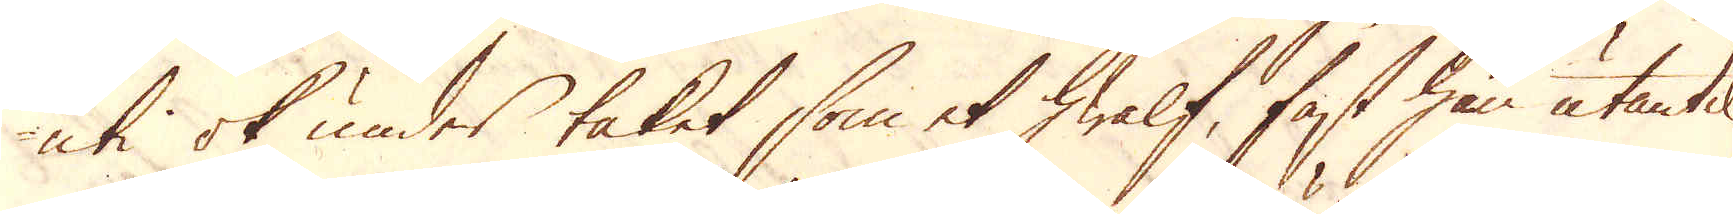uti ok under taket som et hwalf, fast han utantil
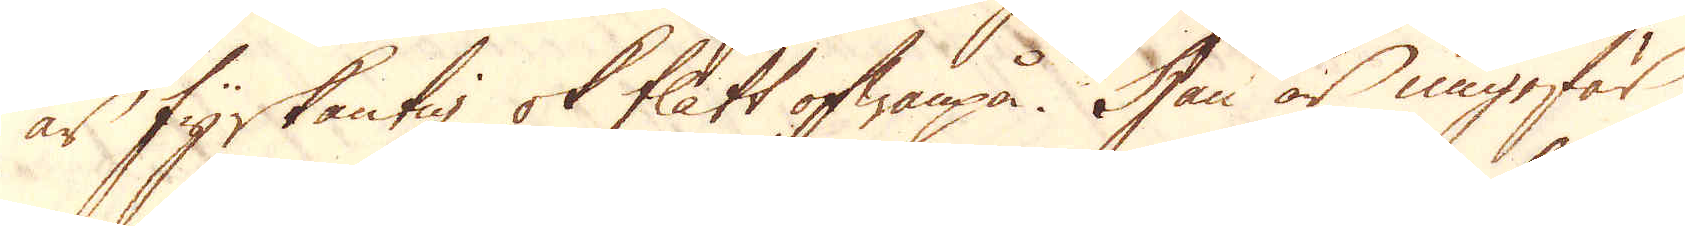är fyrkantig ok flått ofwanpå. Han är ungefär
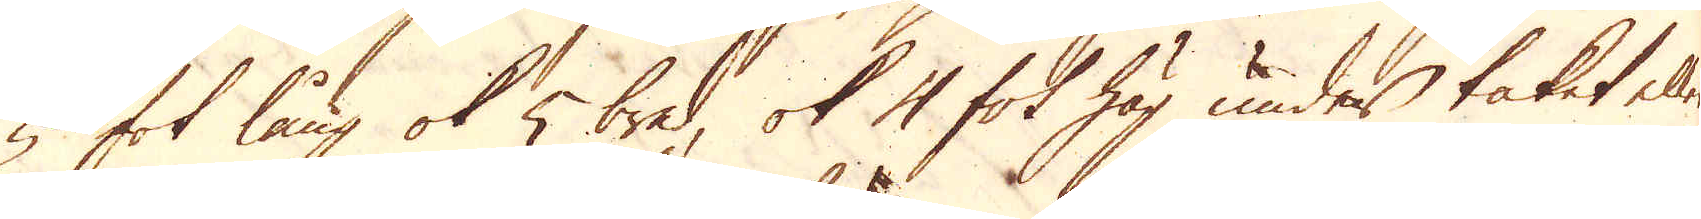5 fot lång ok 5 bred, ok 4 fot hög under taket eller
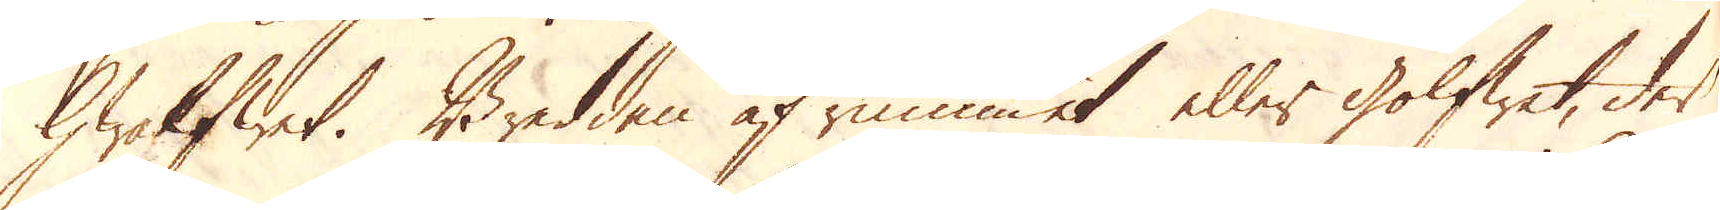hwalfwet. Bredden af rummet eller golfwet, der
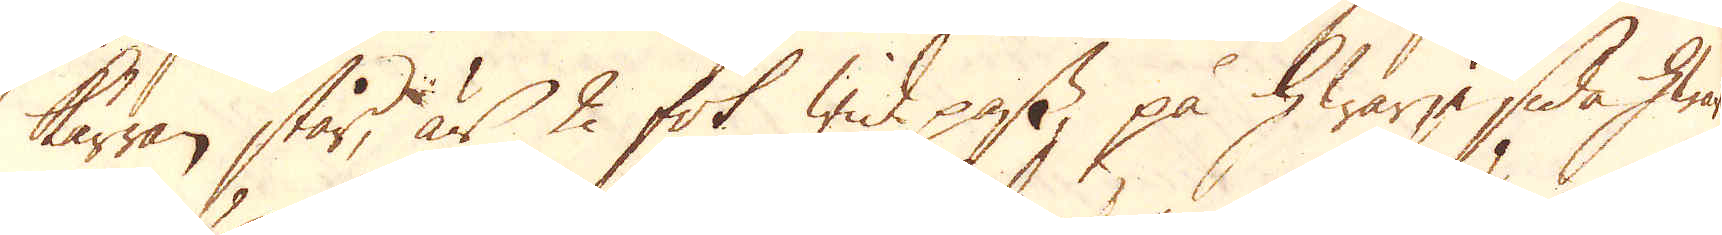kärran står, är 2 fot wid pass på hwarje sida hwar-
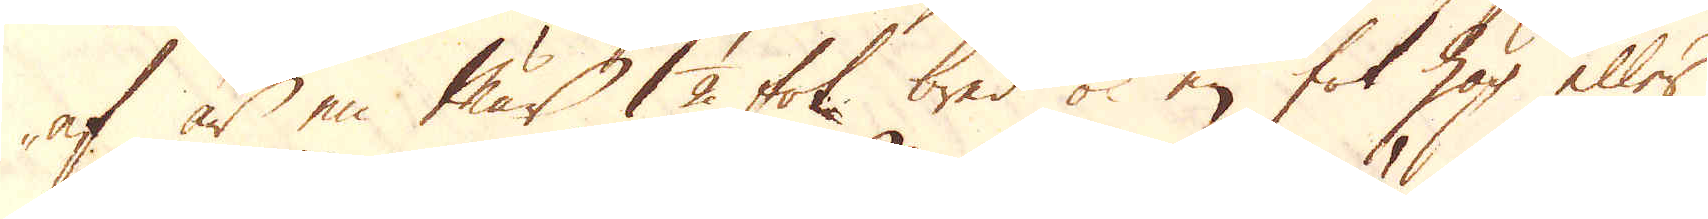af är en Mär 1 1/2 fot bred ok en fot hög eller
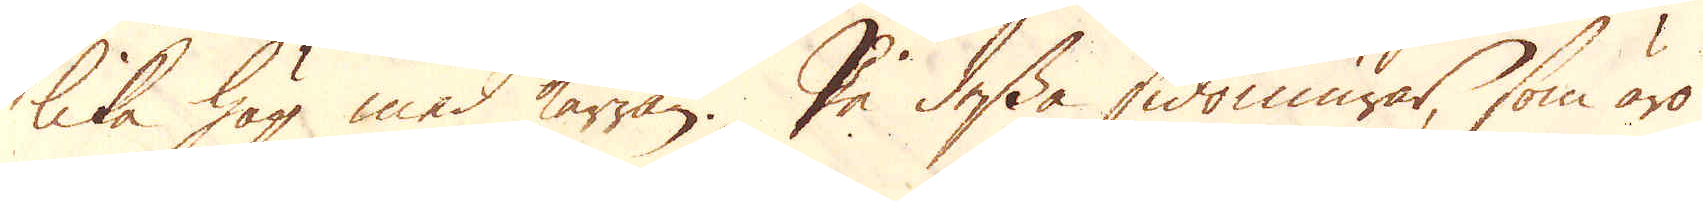lika hög med kärran. På dessa sidmurar, som äro
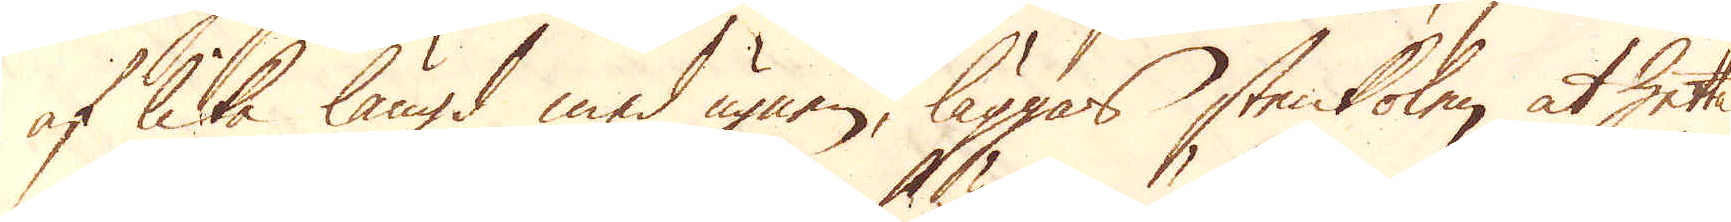af lika längd med ugnen, läggas stenkolen at hetta
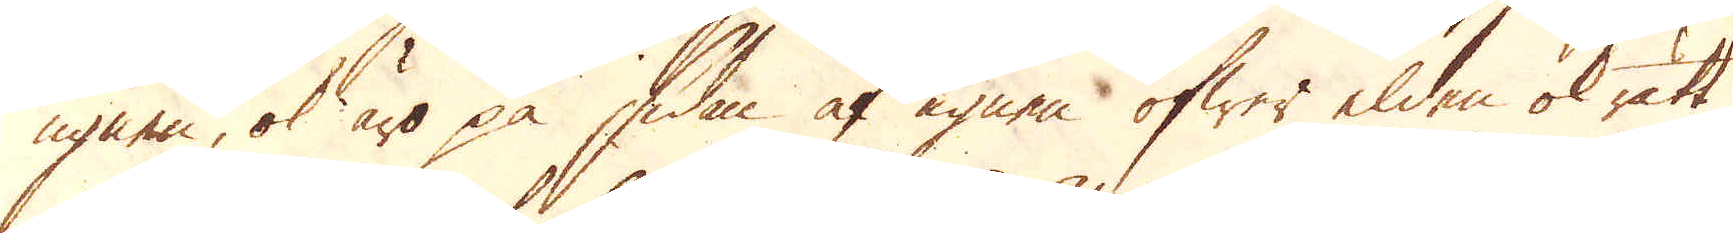ugnen, ok äro på sidan af ugnen öfwer elden ok rätt
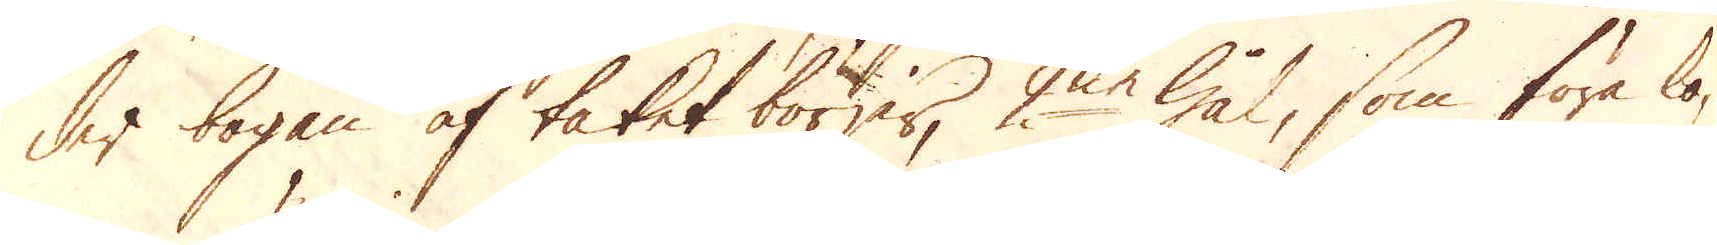der bogen af taket börjer, 2ne hål, som föra lo-
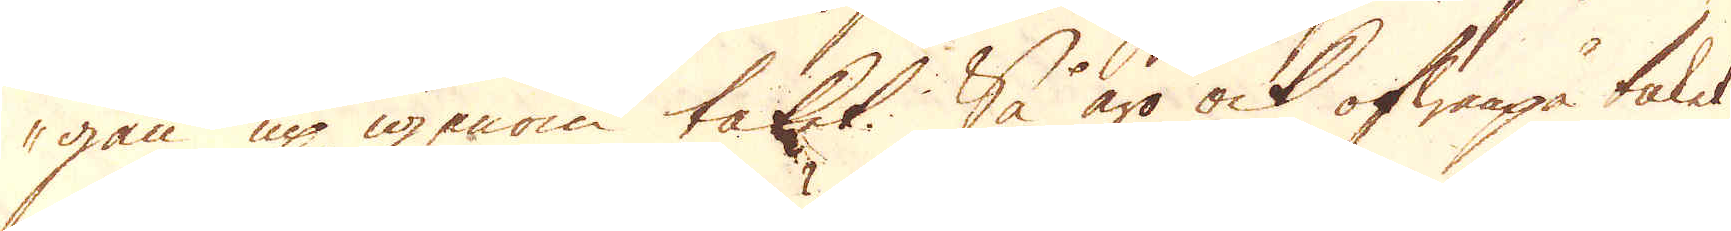gan up igenom taket. Så äro ock ofwanpå taket
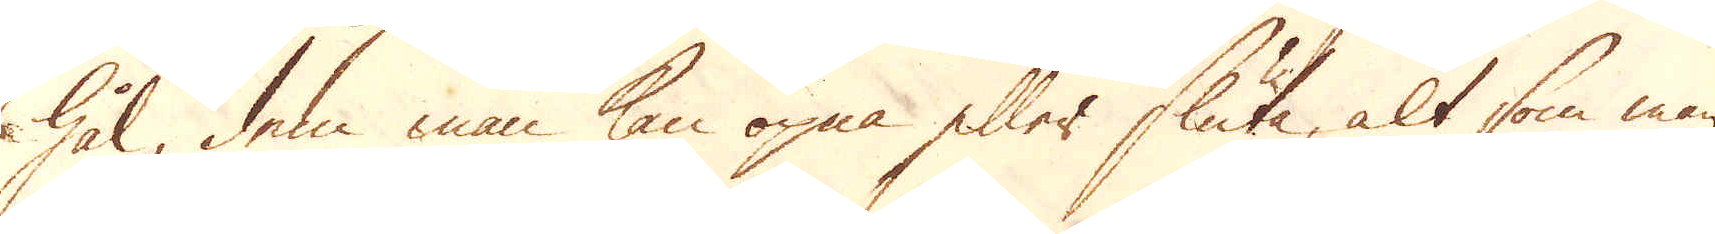hål, dem man kan öpna eller sluta, alt som man
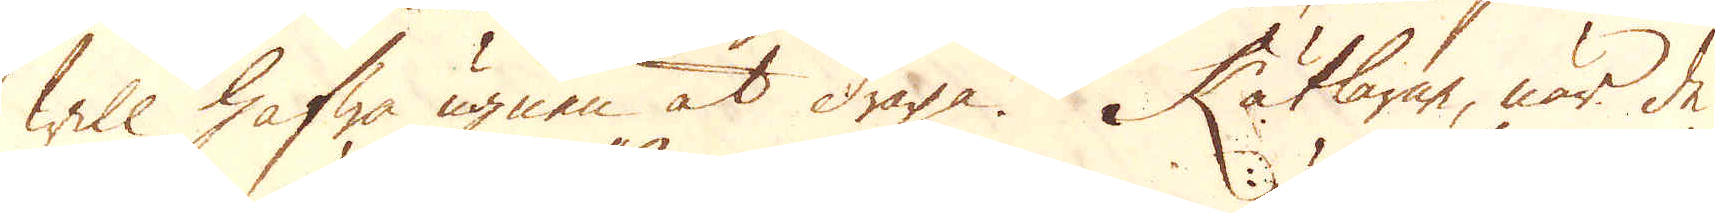will hafwa ugnen at draga. Kätlarne, när de
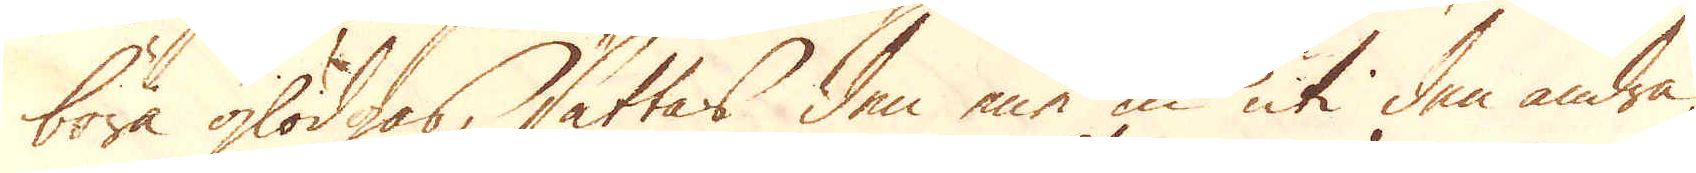böra glödgas, sättas den ene in uti den andra
